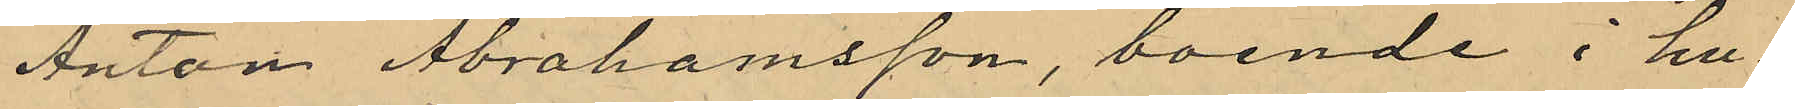Anton Abrahamsson, boende i hu¬
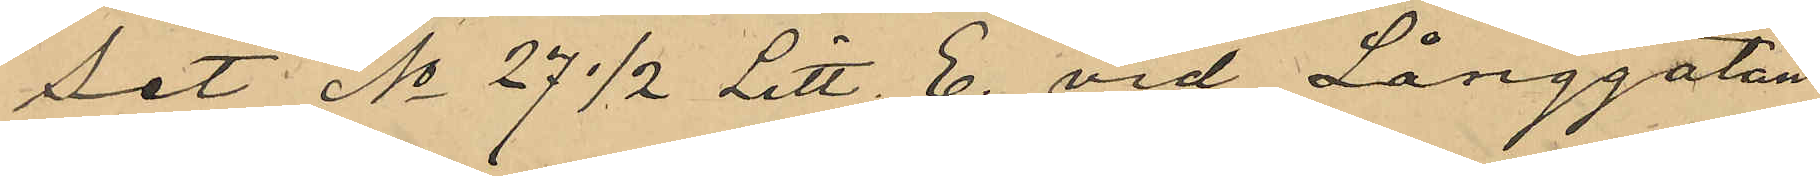set No 27 1/2 Litt. E. vid Långgatan
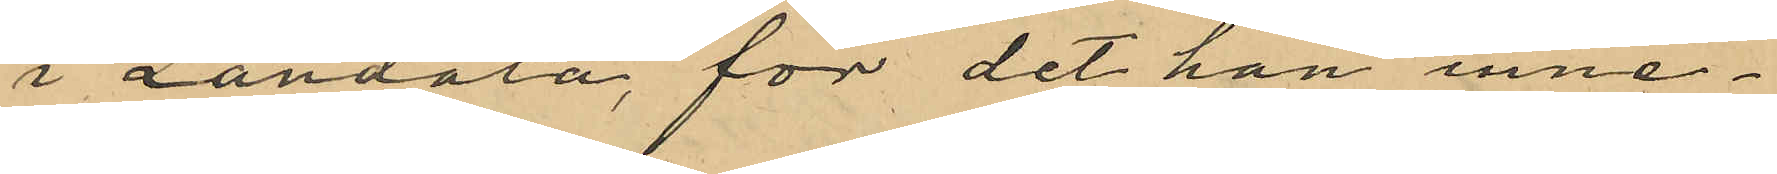i Landala, för det han inne¬
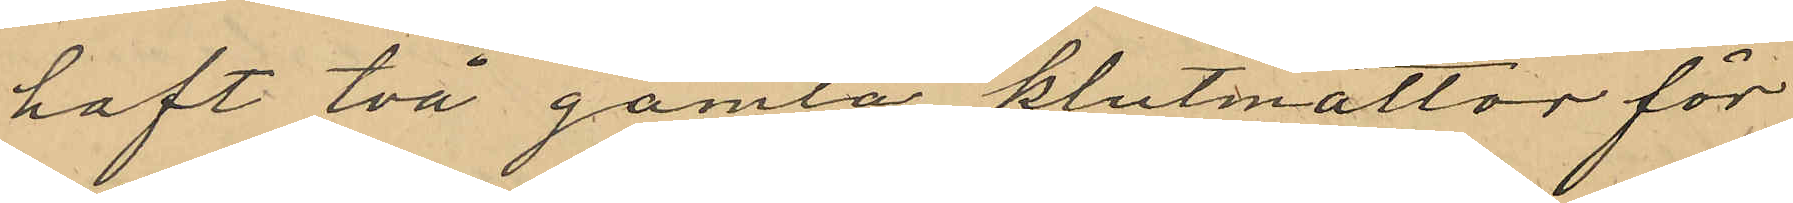haft två gamla klutmattor för
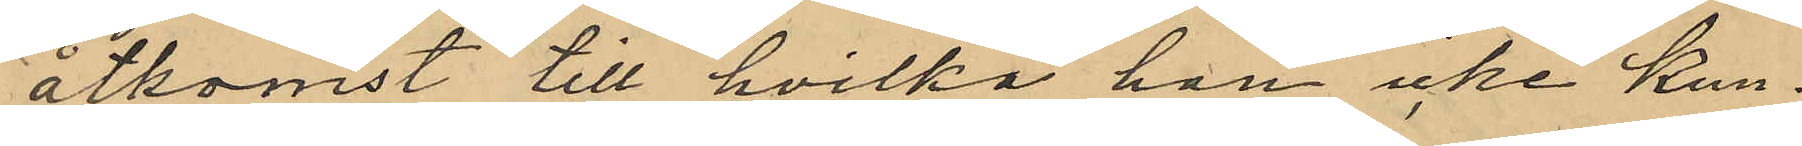åtkomst till hvilka han icke kun¬
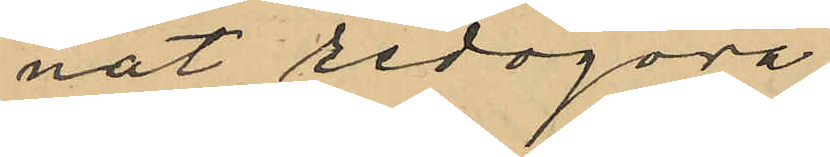nat redogöra.
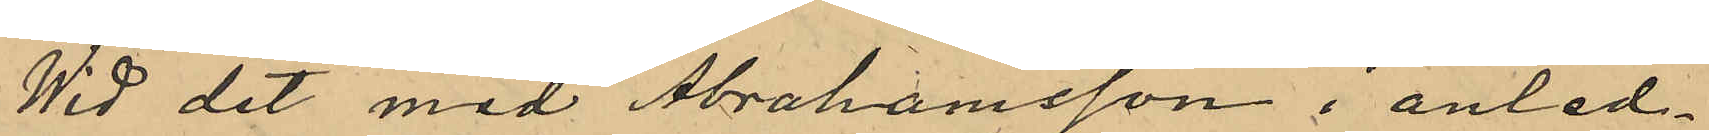Wid det med Abrahamsson i anled¬
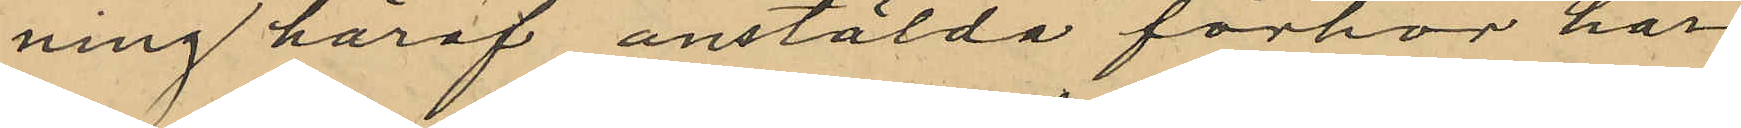ning häraf anstälda förhör har
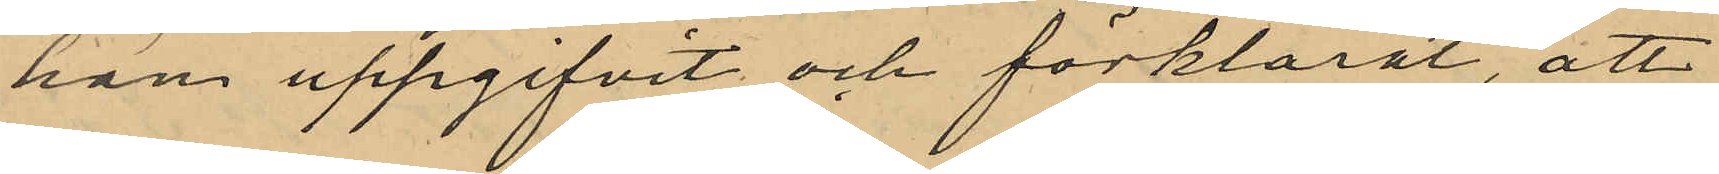han uppgifvit och förklarat, att
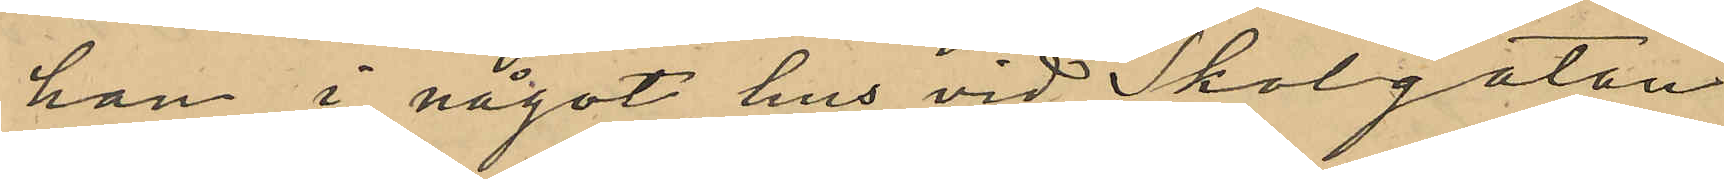han i något hus vid Skolgatan
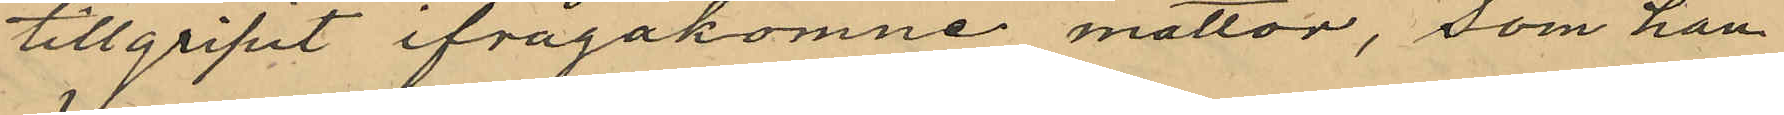tillgripit ifrågakomne mattor, som han
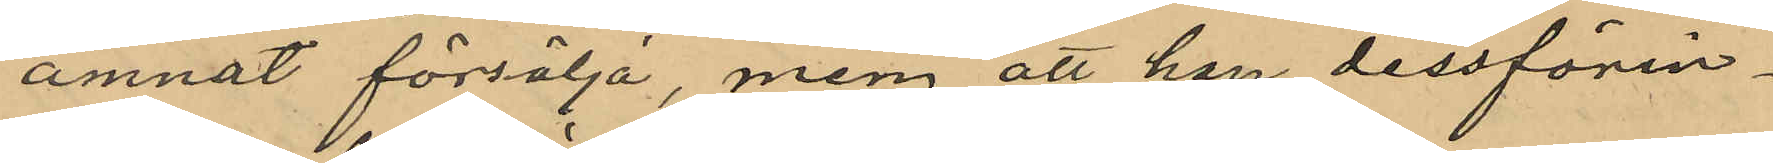ämnat försälja, men att han dessförin¬
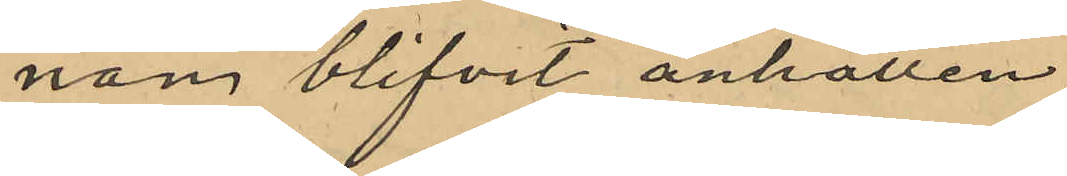nan blifvit anhållen.
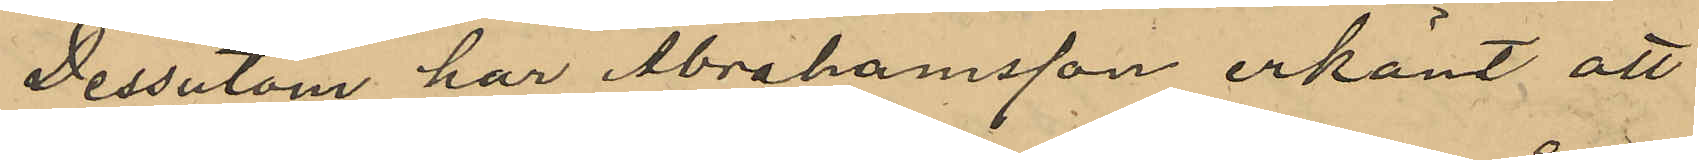Dessutom har Abrahamsson erkänt att
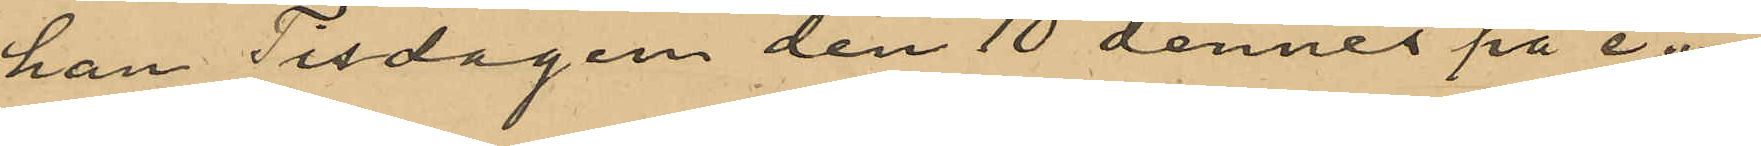han Tisdagen den 10 dennes på e.m.
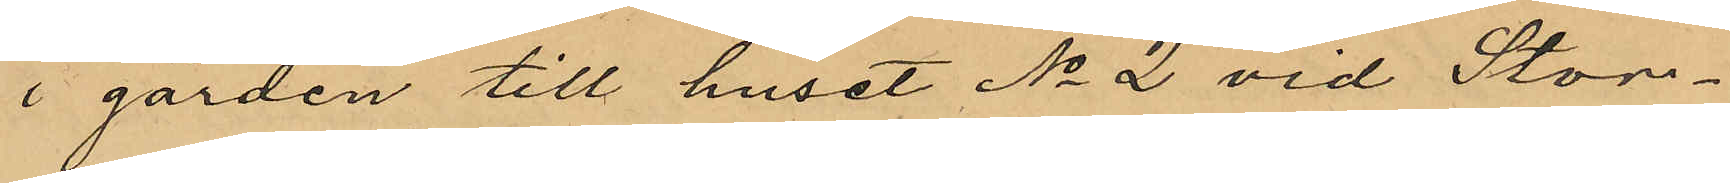i gården till huset No 2 vid Stor¬
